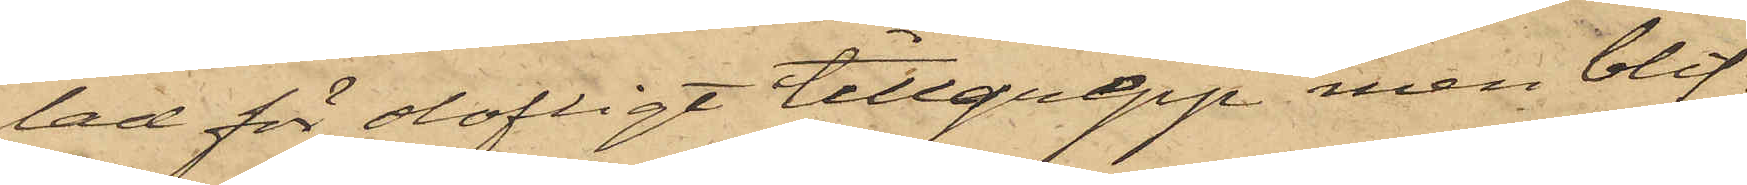lad för olofligt tillgrepp men blif¬
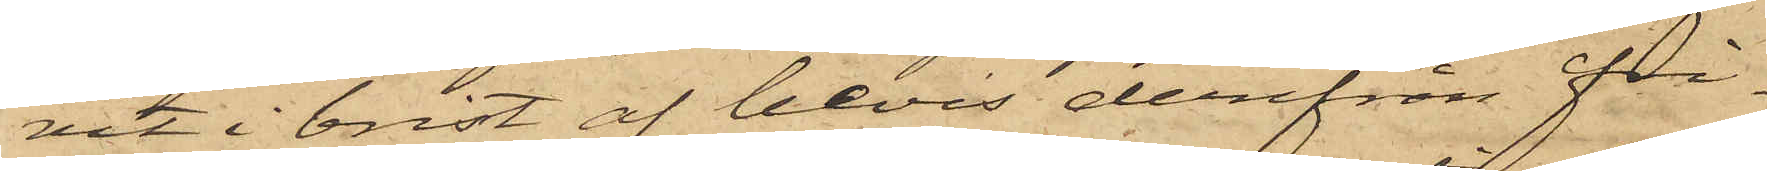vit i brist af bevis derifrån frå¬
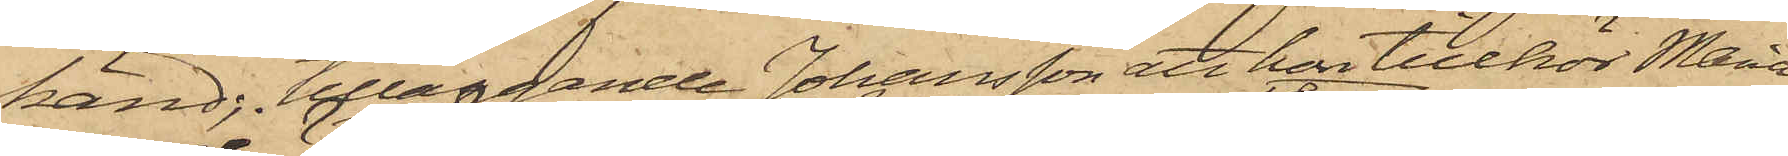känd; tilläggande Johansson att hon tillhör Maria
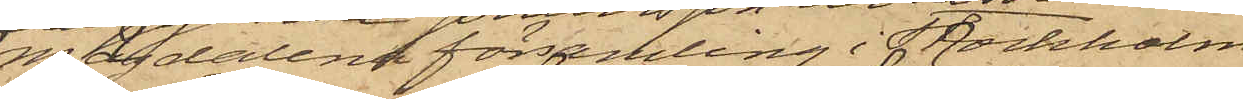Magdalena församling i Stockholm.
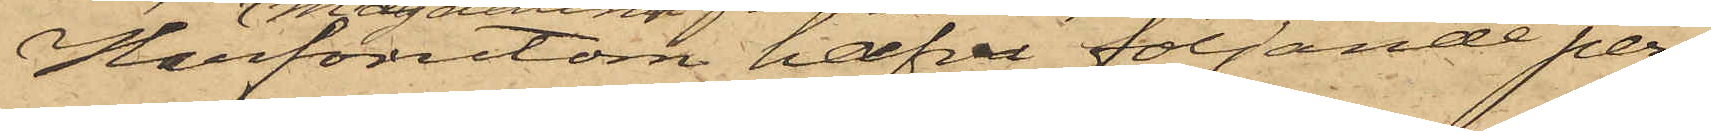Härförutom hafva följande per¬
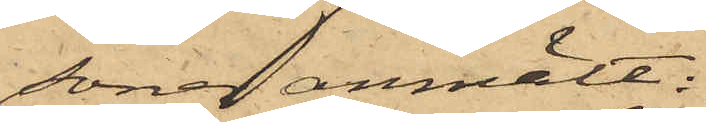soner anmält:
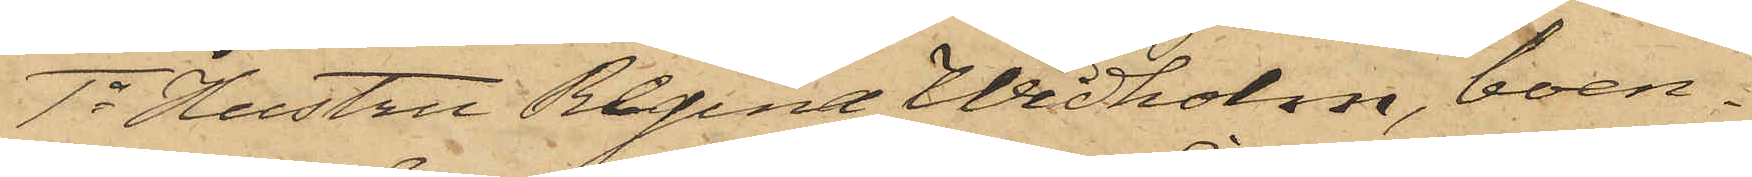1o Hustru Regina Widholm, boen¬
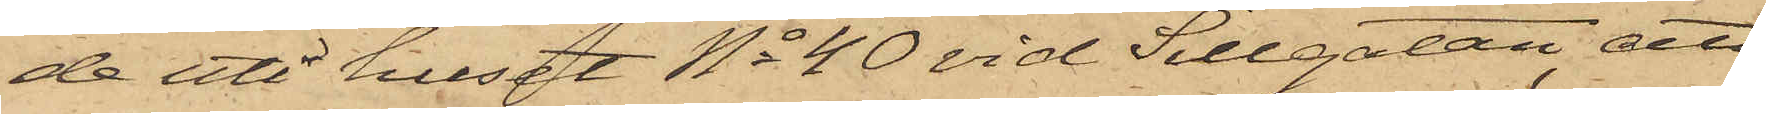de uti huset No 40 vid Sillgatan, att,
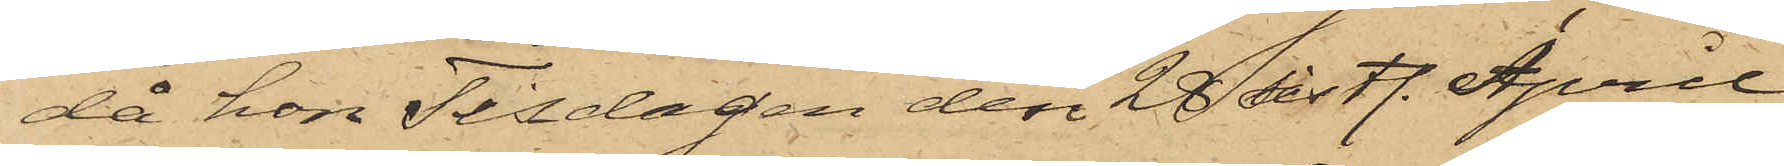då hon Tisdagen den 28 sistl. April
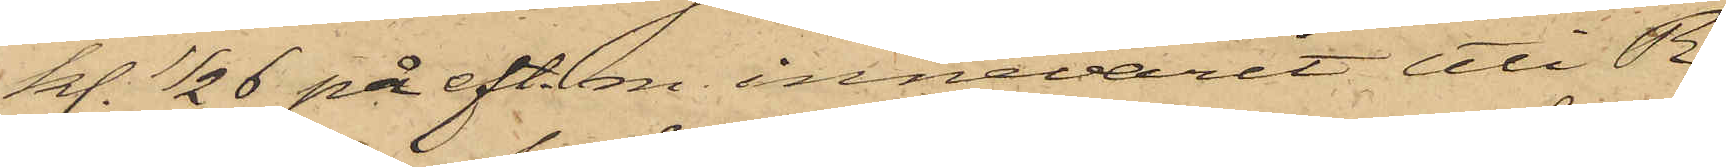kl. 1/2 6 på eft. m. innevarit uti R.
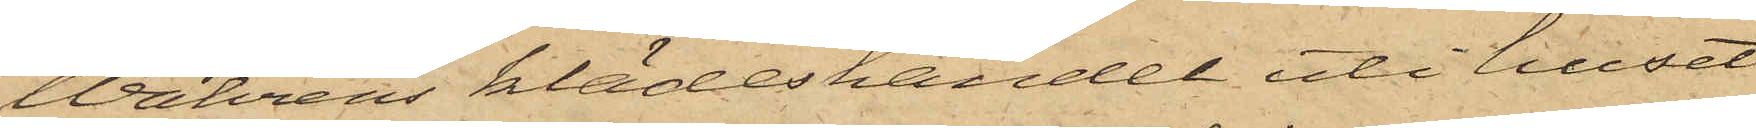Wahrens klädeshandel uti huset
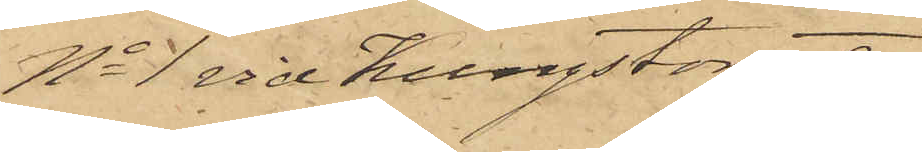No 1 vid Kungstorget,
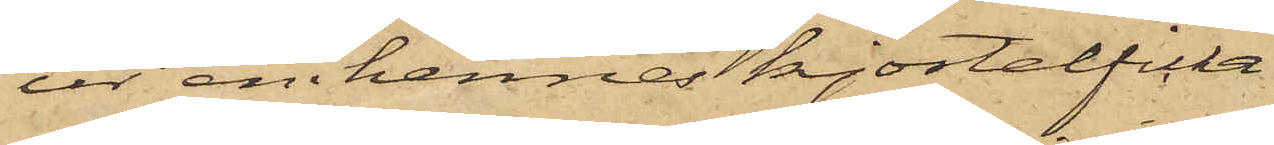ur en i hennes kjortelficka
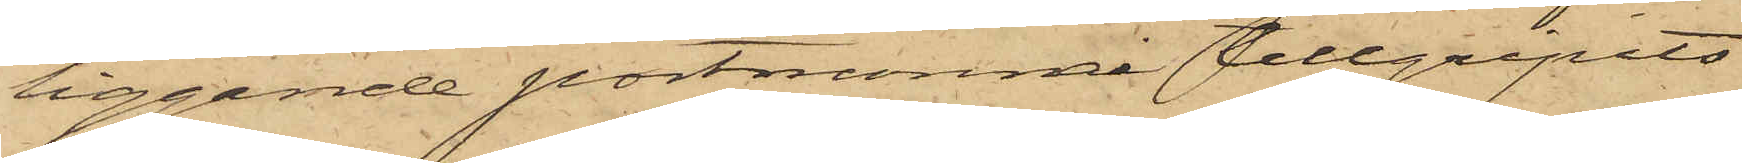liggande portmonnai tillgripits
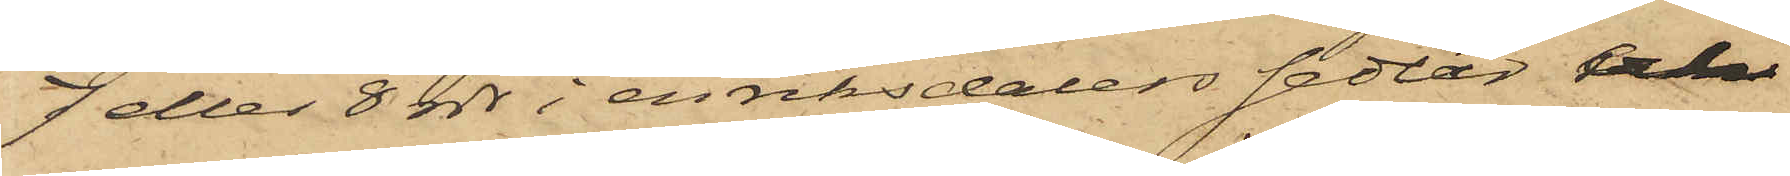7 eller 8 rdr i enriksdalerssedlar och
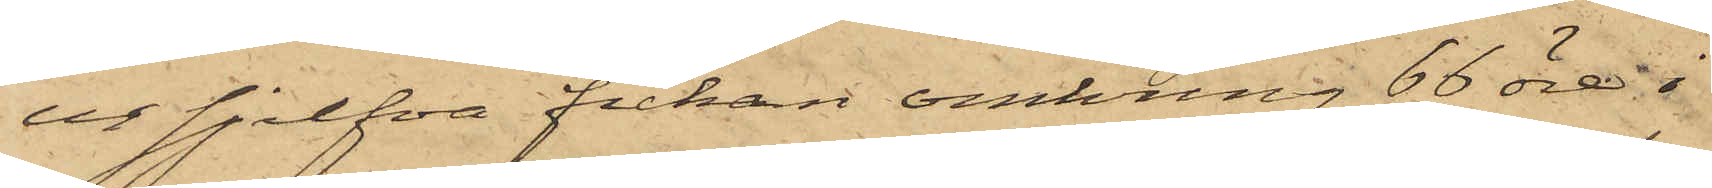ur sjelfva fickan omkring 66 öre i
